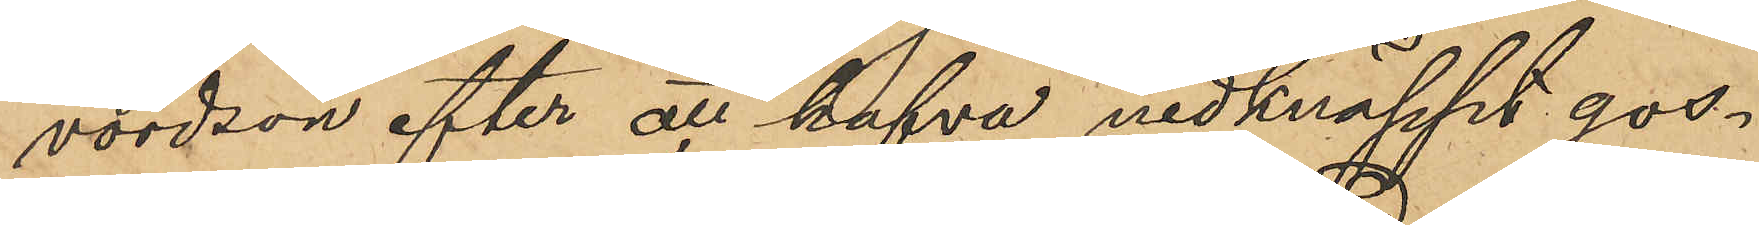vordson efter att hafva nedknäppt gos¬
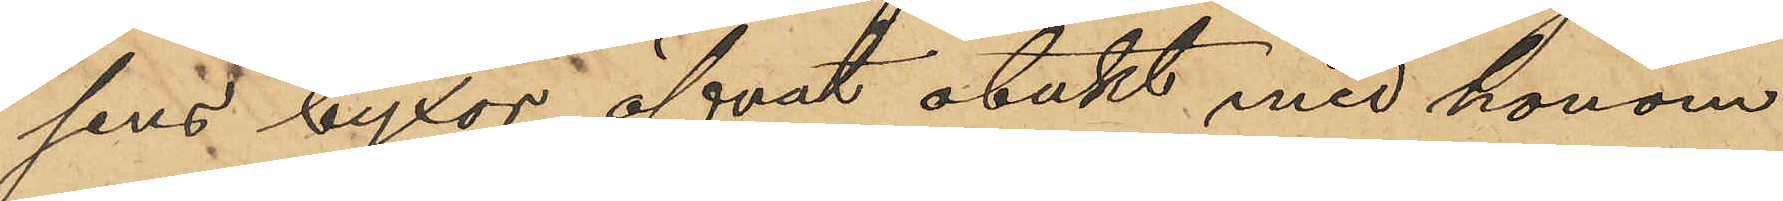sens byxor öfvat otukt med honom
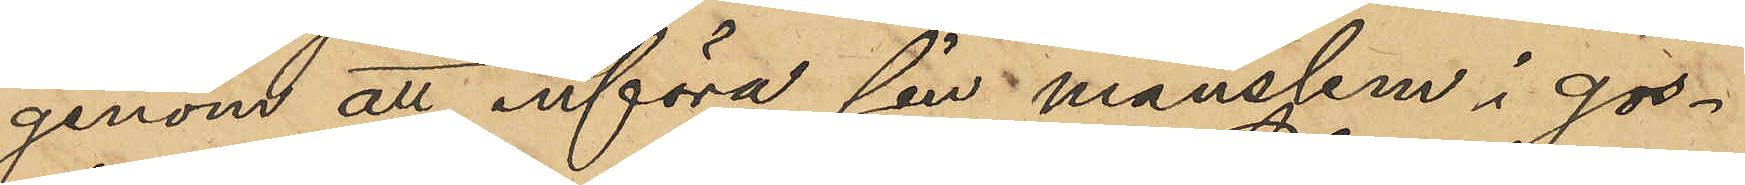genom att införa sin manslem i gos¬
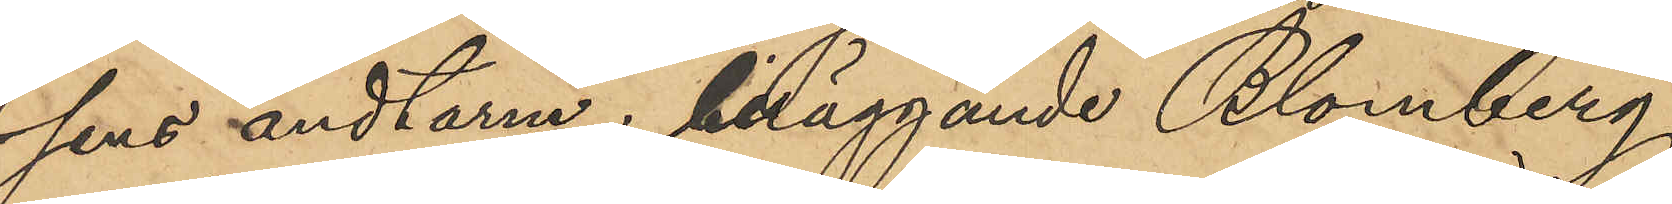sens ändtarm; beläggande Blomberg
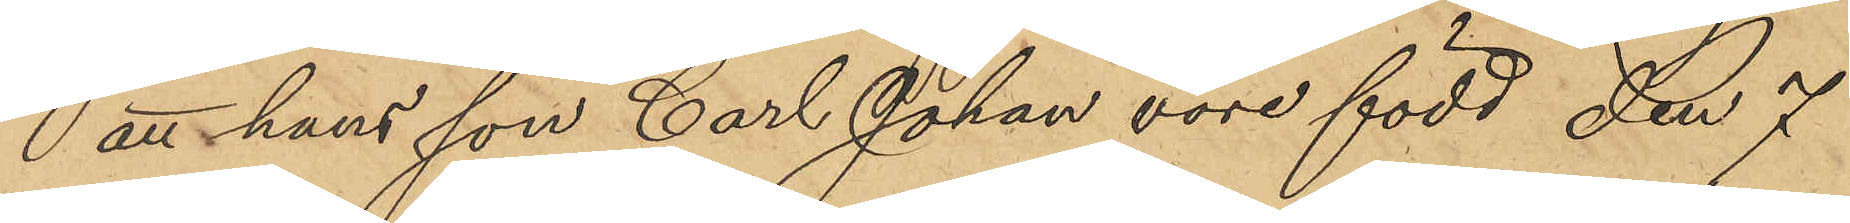att hans son Carl Johan vore född den 7
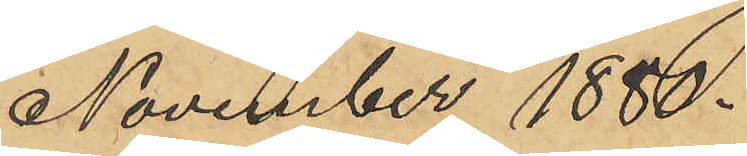November 1880.
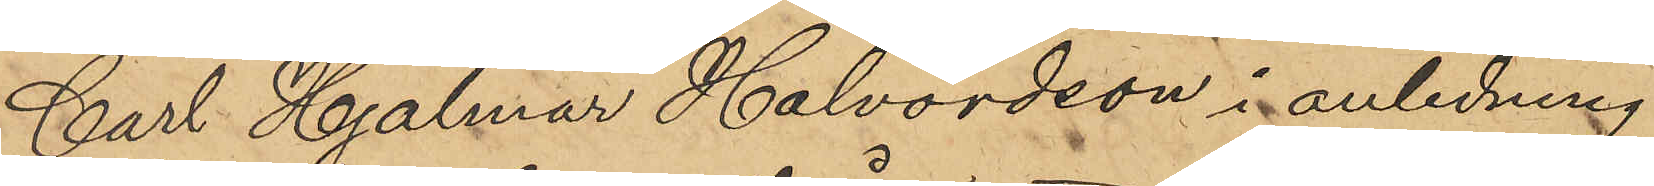Carl Hjalmar Halvordson i anledning
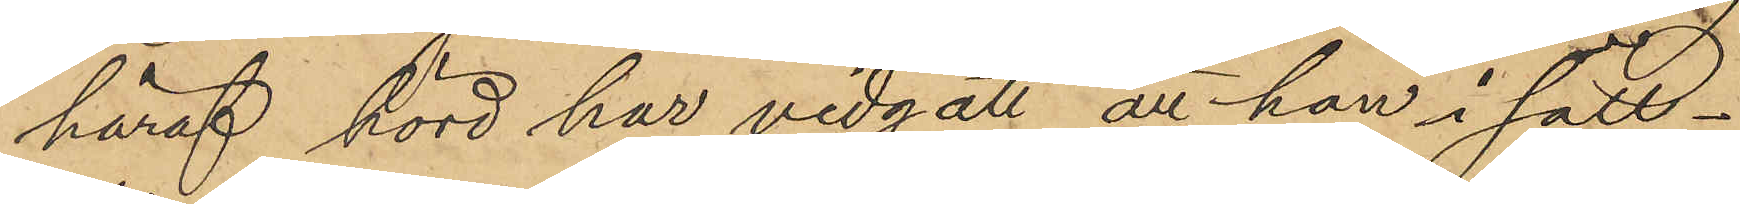häraf hörd har vidgått att han i säll¬
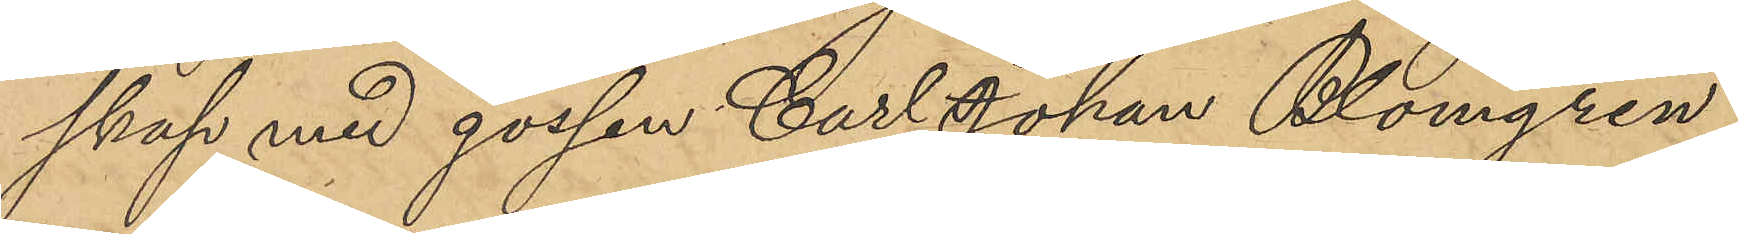skap med gossen Carl Johan Blomgren
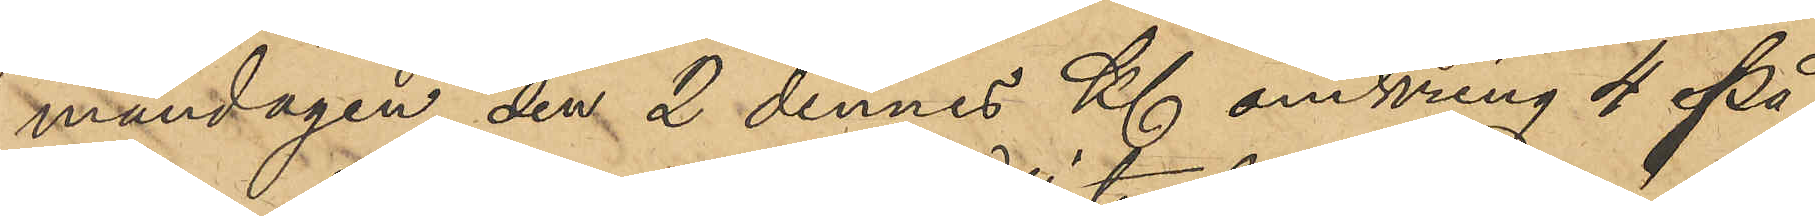måndagen den 2 dennes Kl omkring 4 på
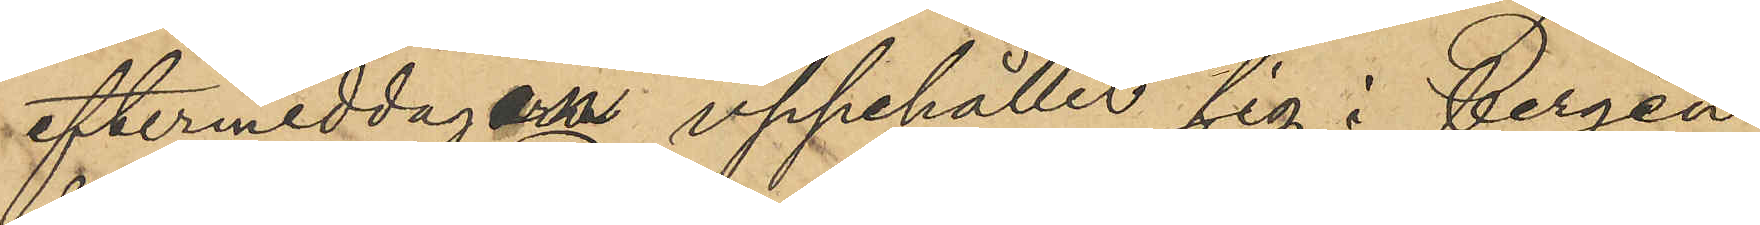eftermiddagen uppehållit sig i bergen
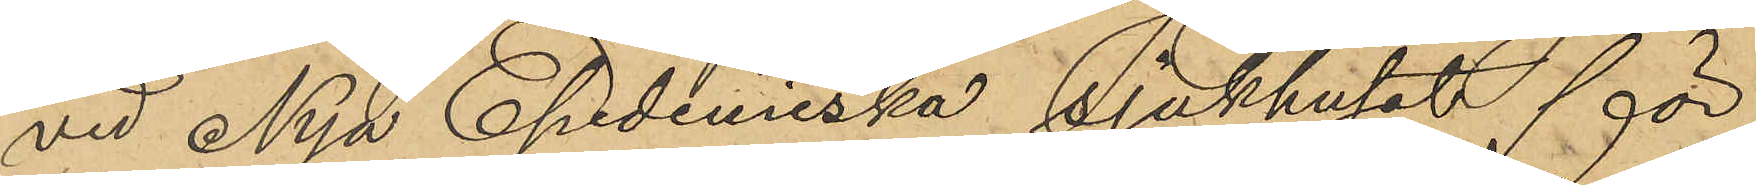vid Nya Epidemiska Sjukhuset för
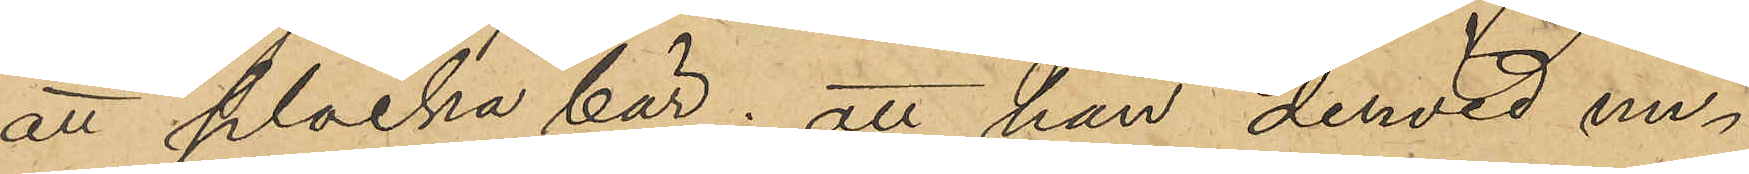att plocka bär; att han dervid un¬
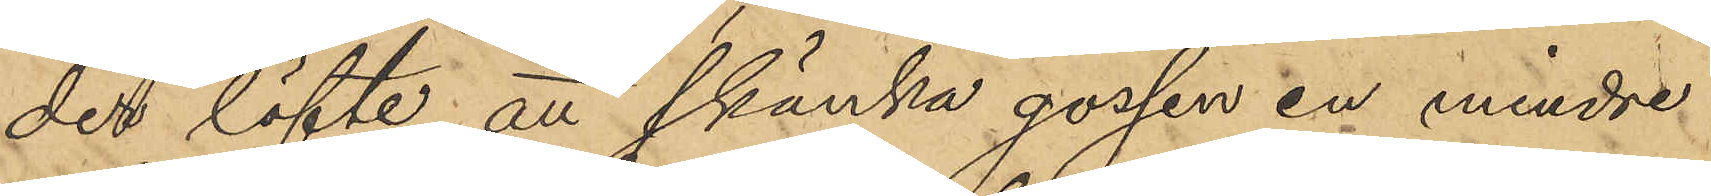der löfte att skänka gossen en mindre
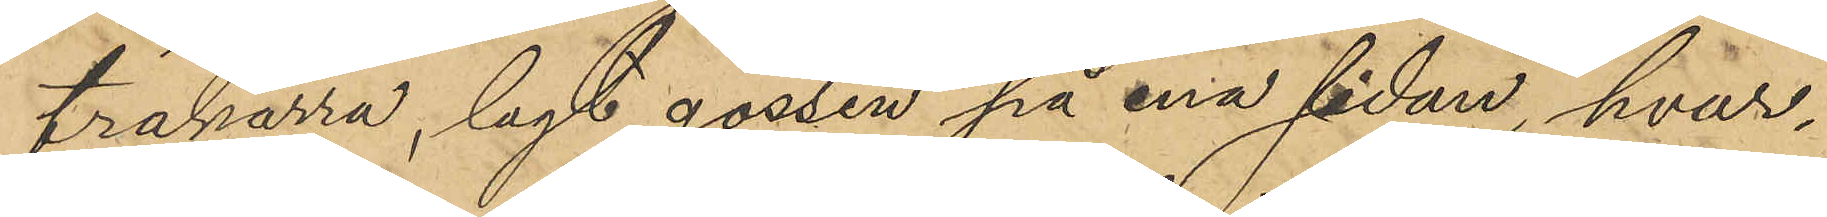träkärra, lagt gossen på ena sidan, hvar¬
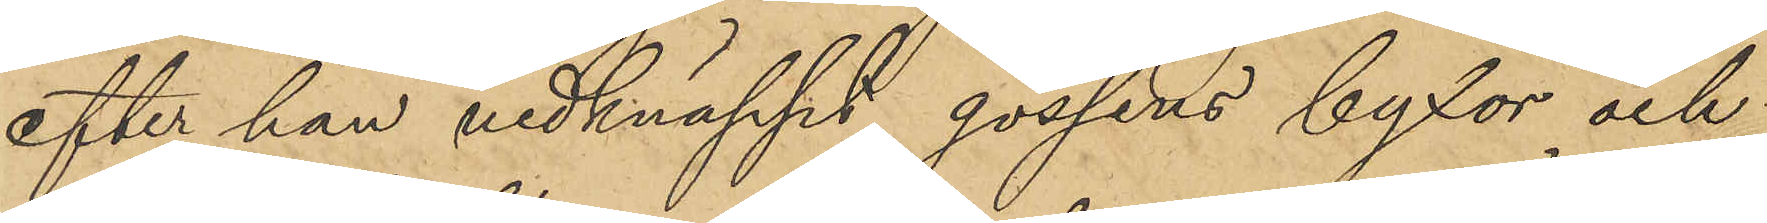efter han nedknäppt gossens byxor och
